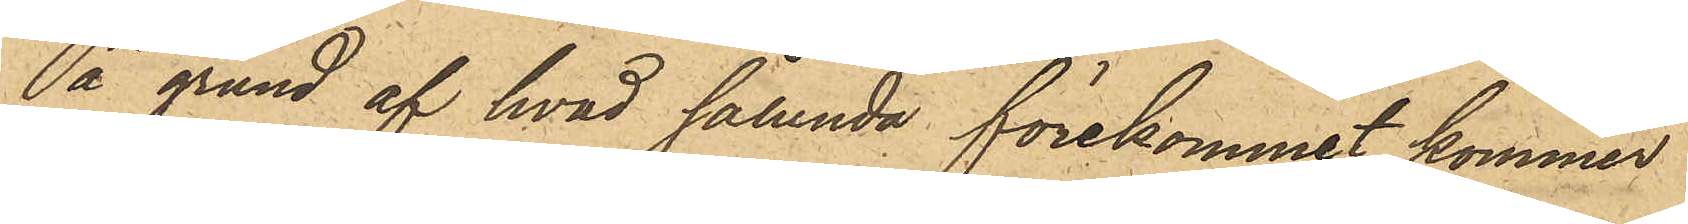På grund af hvad sålunda förekommit kommer
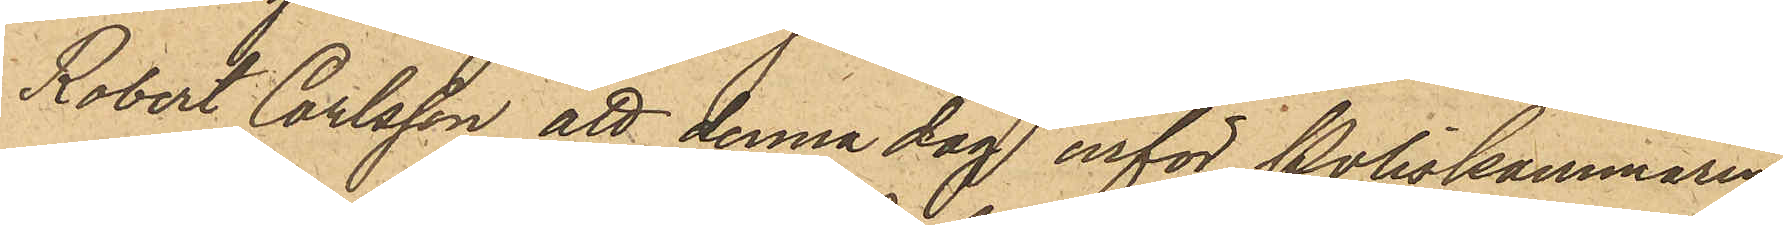Robert Carlsson att denna dag inför Poliskammaren
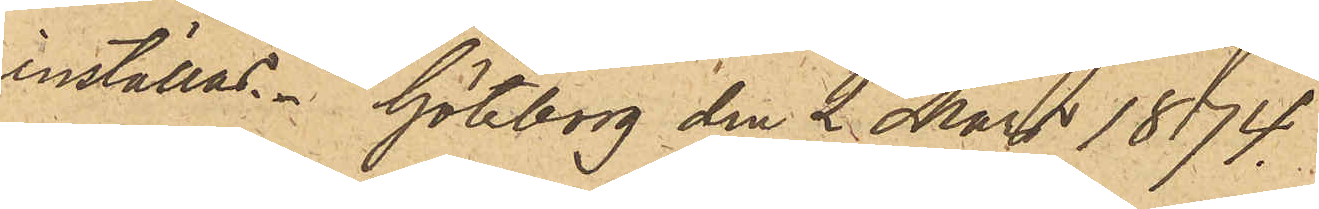inställas. Göteborg den 2 Mars 1874.
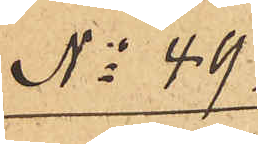No 49.
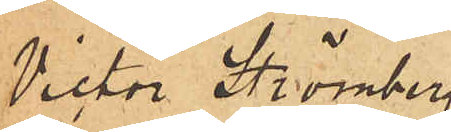Victor Strömberg
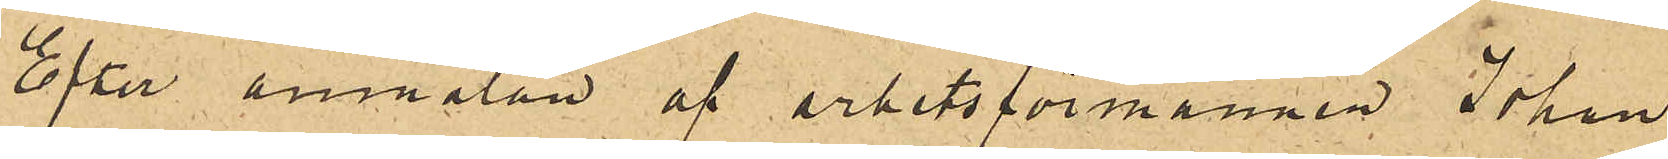Efter anmälan af arbetsförmannen Johan
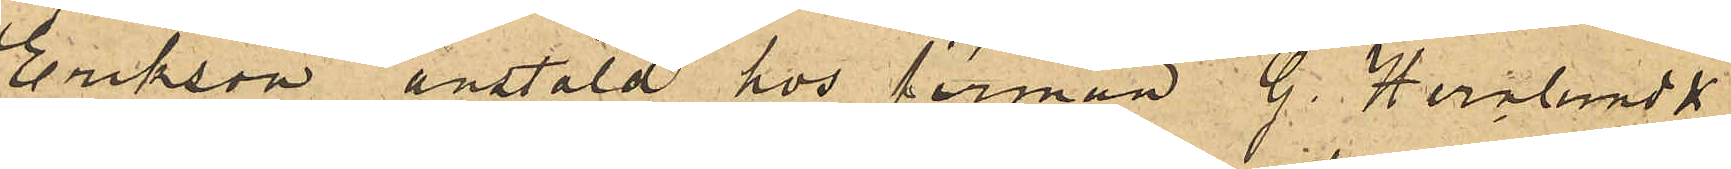Erikson anstäld hos firman G. Hernlund &
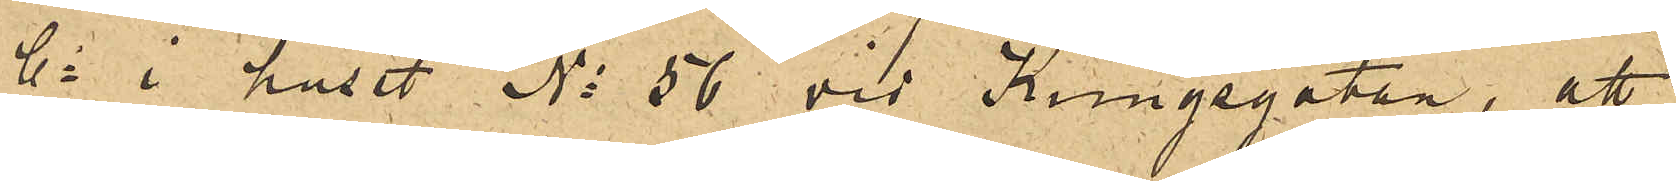Co i huset No 56 vid Kungsgatan, att
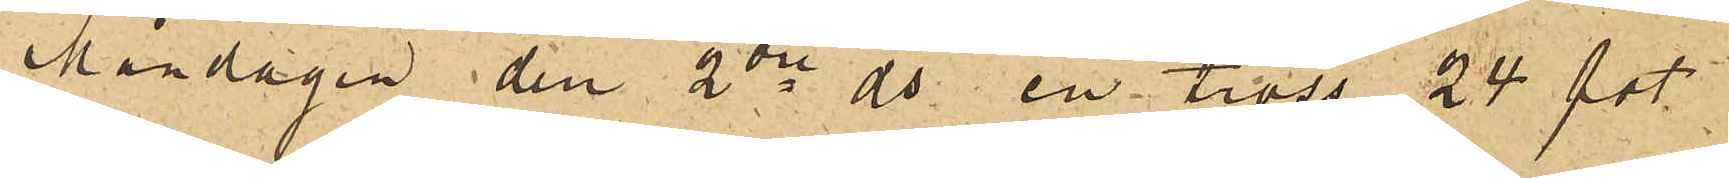Måndagen den 2dre ds  en tross 24 fot
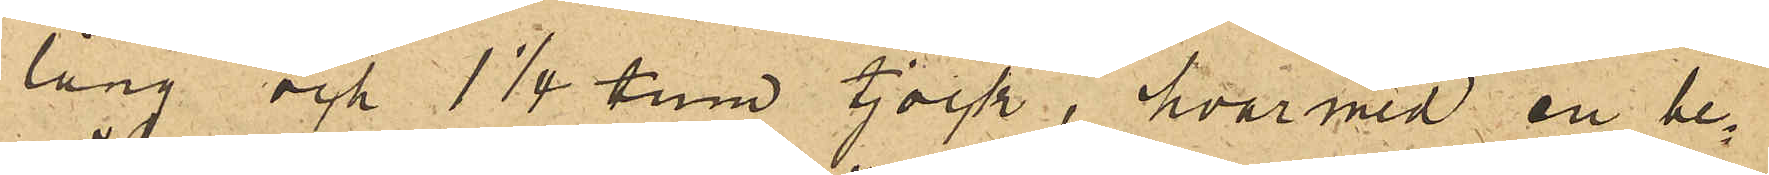lång och 1 1/4 tum tjock, hvarmed en be¬
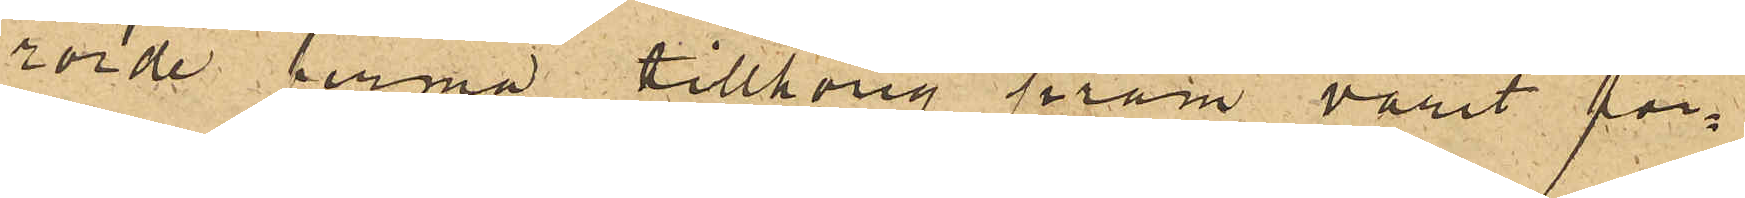rörde firma tillhörig pråm varit för¬
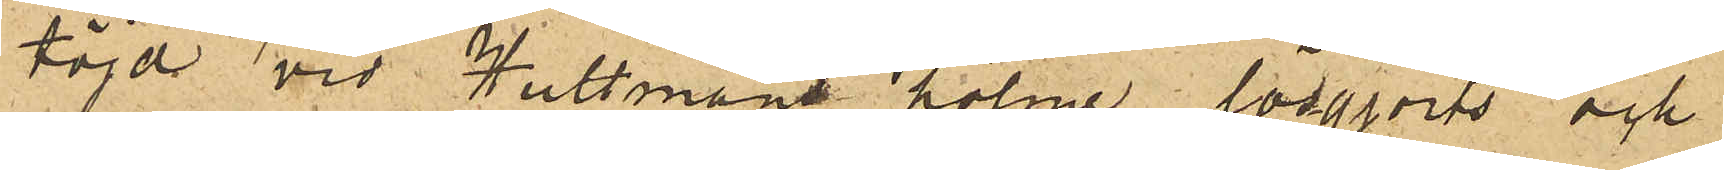töjd vid Hultmans holme, lösgjorts och
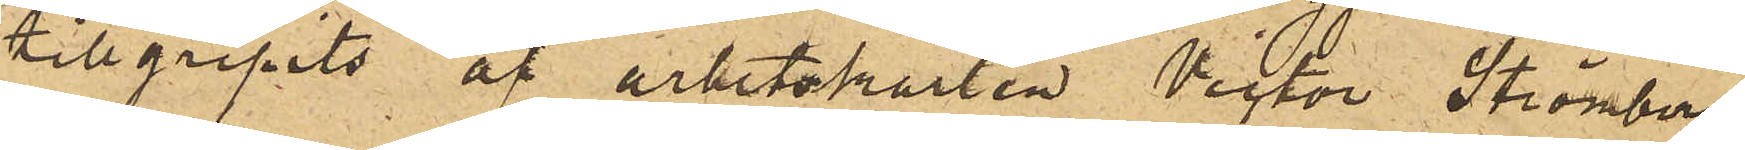tillgripits af arbetskarlen Victor Strömberg
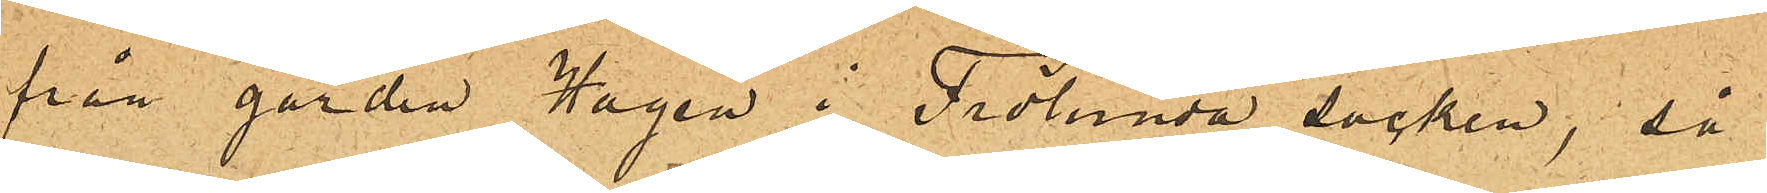från gården Hagen i Frölunda socken, så
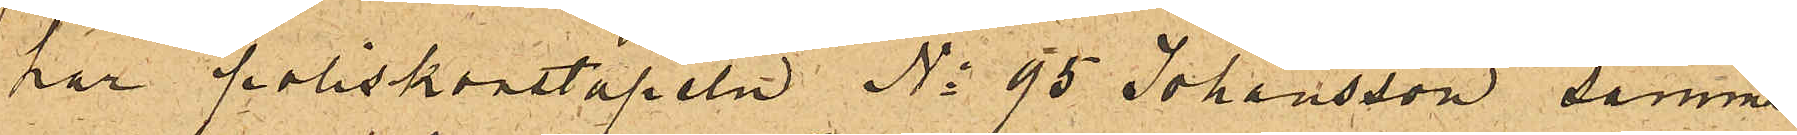har poliskonstapeln No 95 Johansson samma
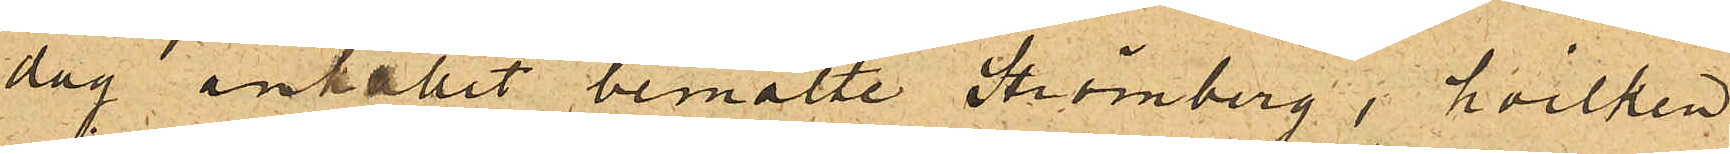dag anhållit bemälte Strömberg, hvilken
